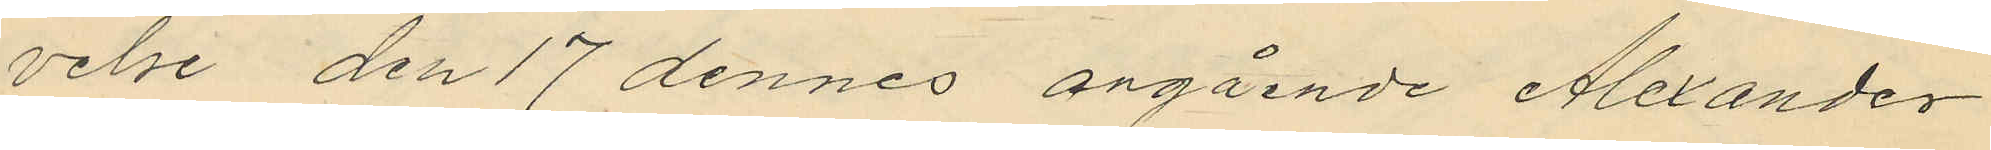velse den 17 dennes angående Alexander
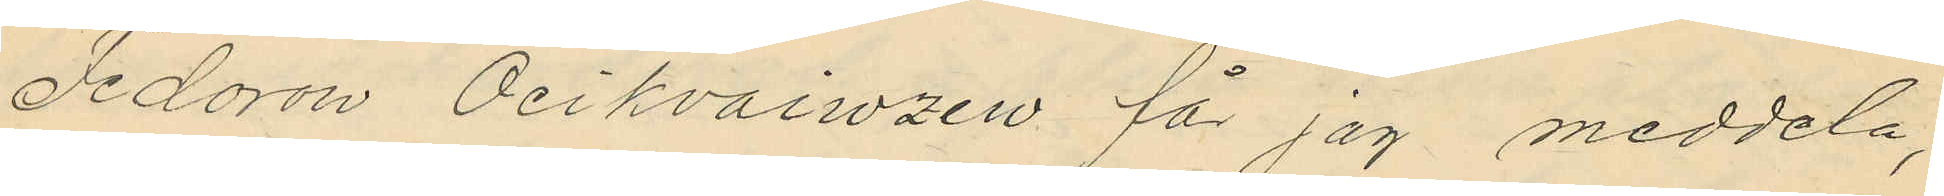Fedorow Ocikvaiwzew får jag meddela,
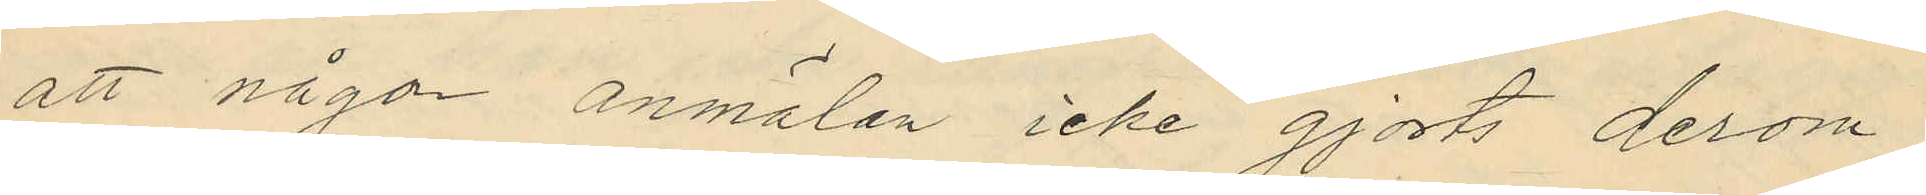att någon anmälan icke gjorts derom
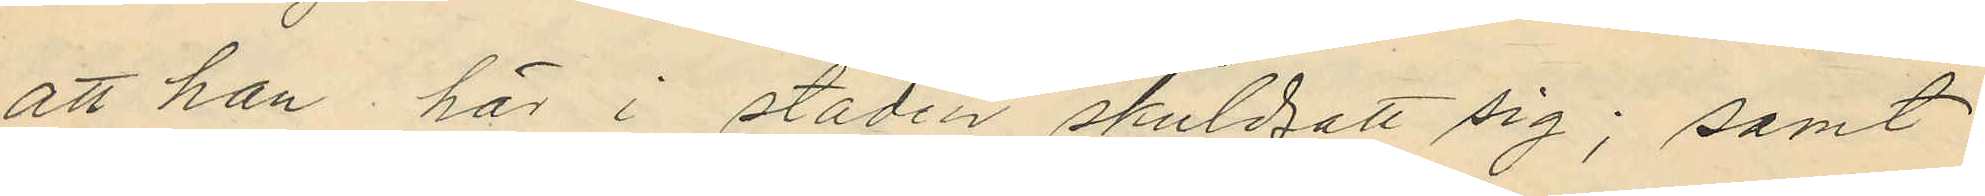att han här i staden skuldsatt sig; samt
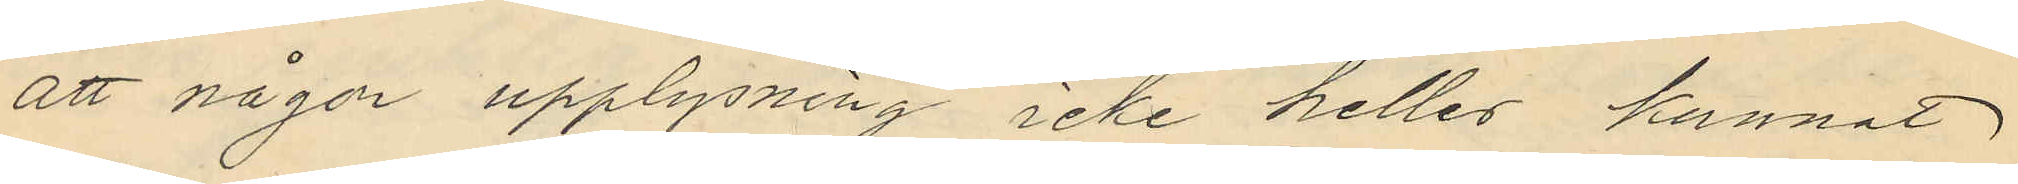att någon upplysning icke heller kunnat
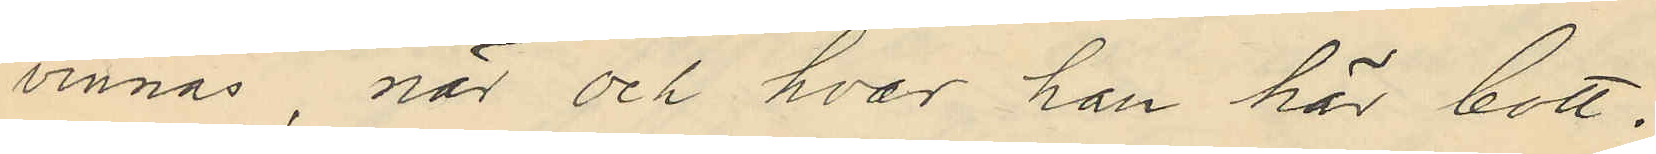vinnas, när och hvar han här bott.
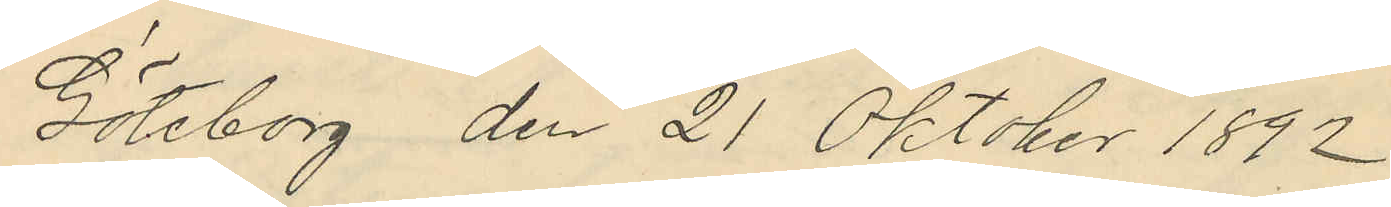Göteborg den 21 Oktober 1892
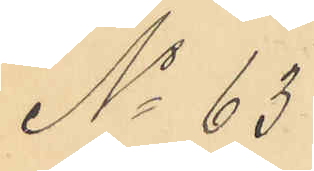No 63
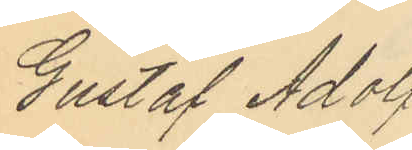Gustaf Adolf
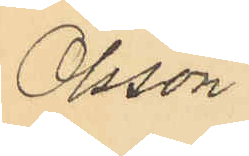Olsson.
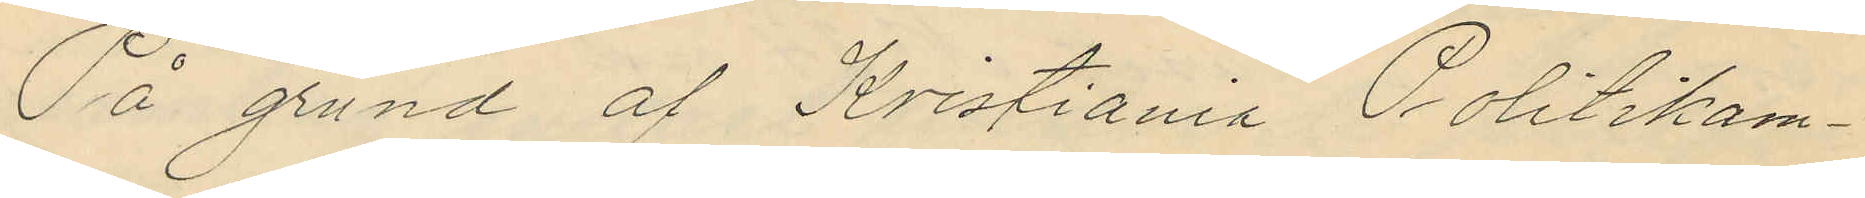På grund af Kristiania Politikam¬
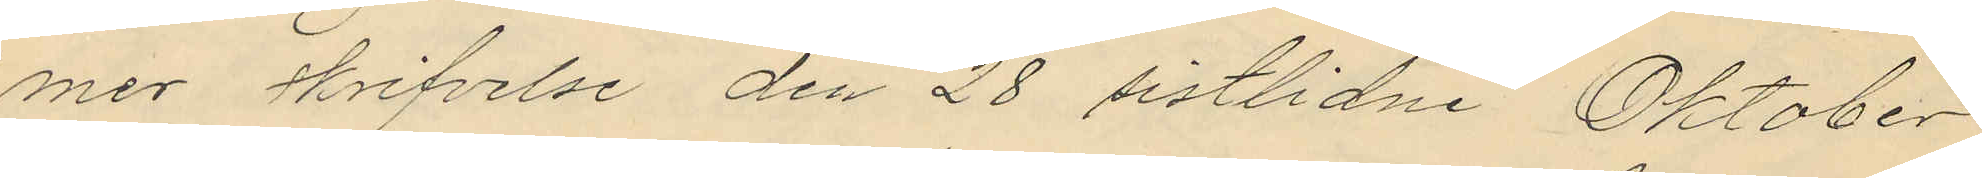mer skrifvelse den 28 sistlidne Oktober
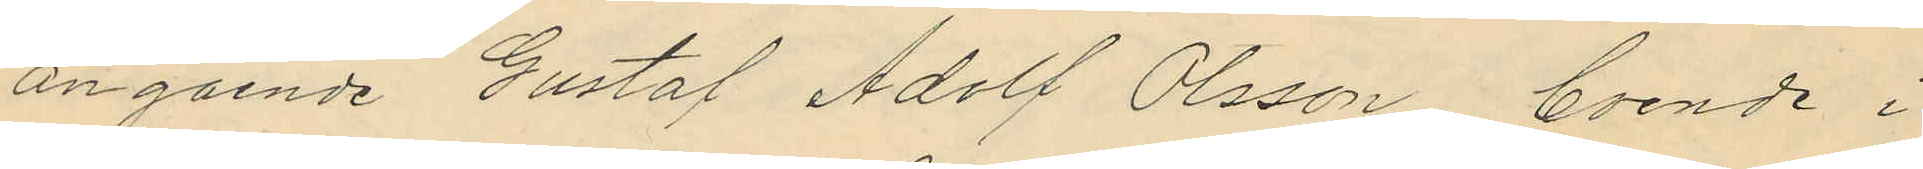angående Gustaf Adolf Olsson, boende i
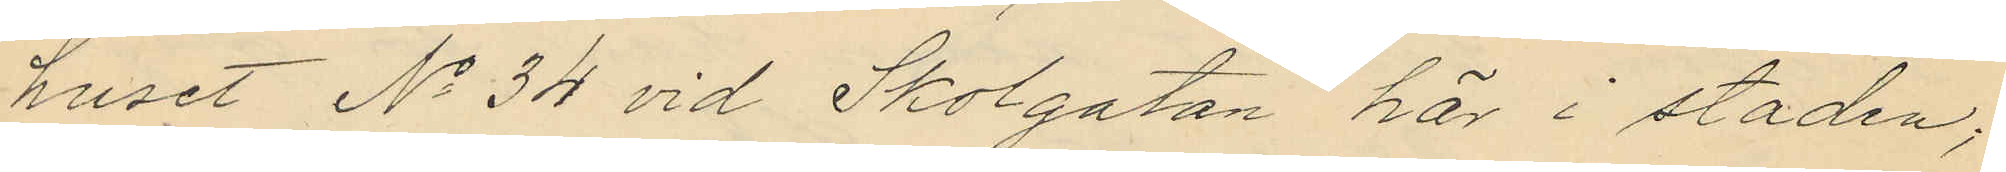huset No 34 vid Skolgatan här i staden;
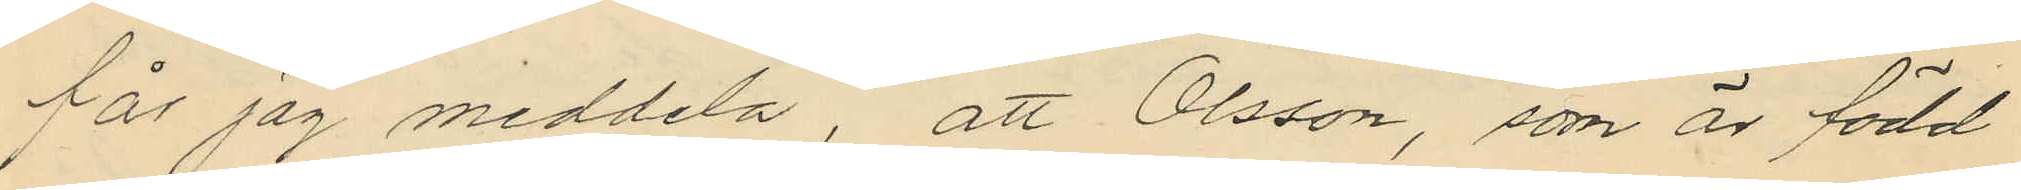får jag meddela, att Olsson, som är född
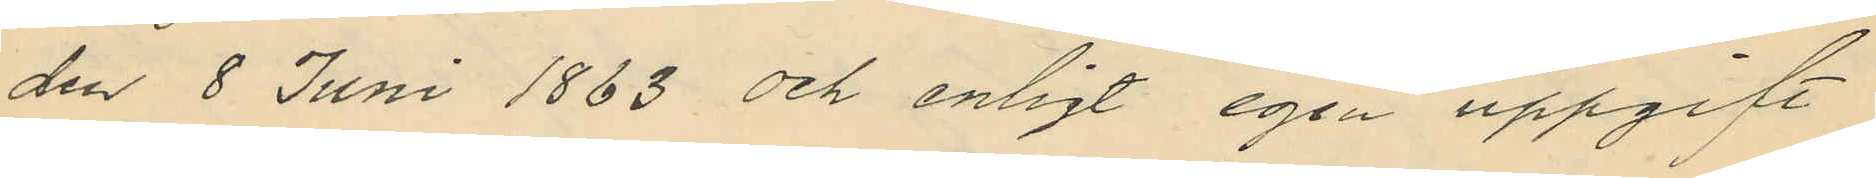den 8 Juni 1883 och enligt egen uppgift
